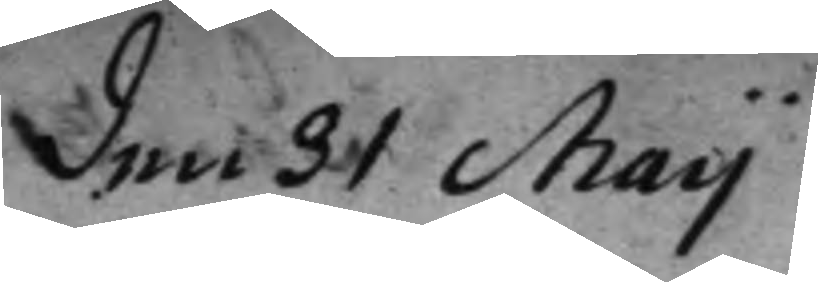den 31 Maij
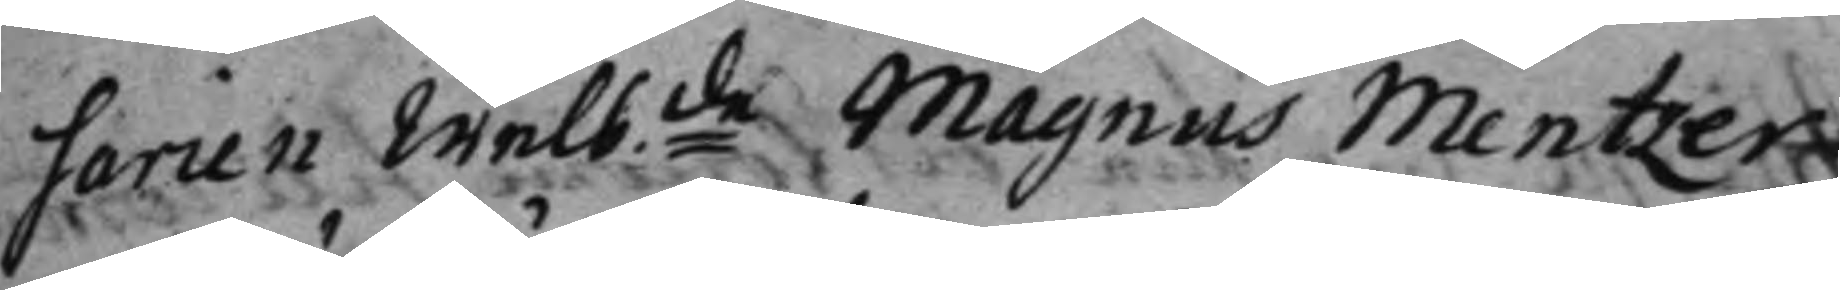sarien Welb:de Magnus Mentzer 
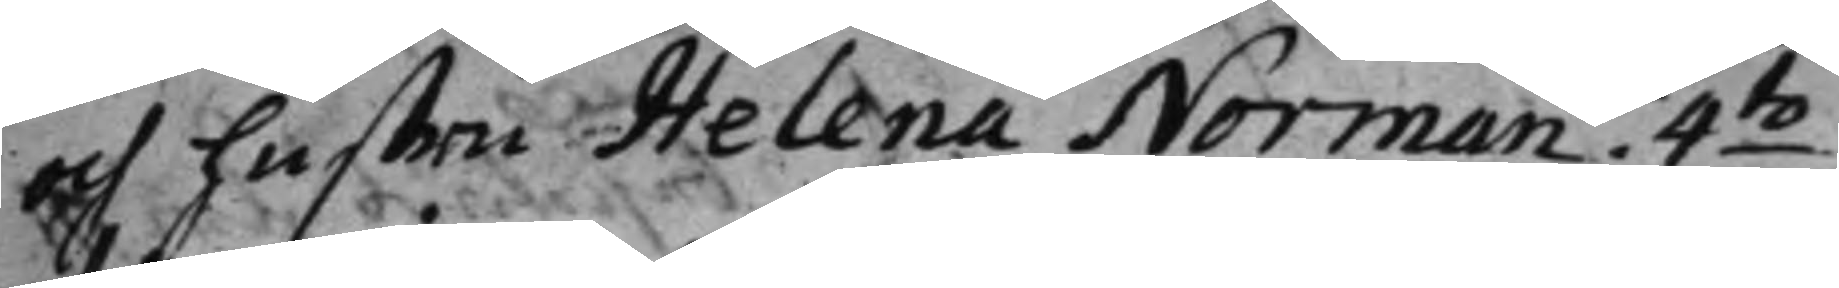och hustru Helena Norman 4:to 
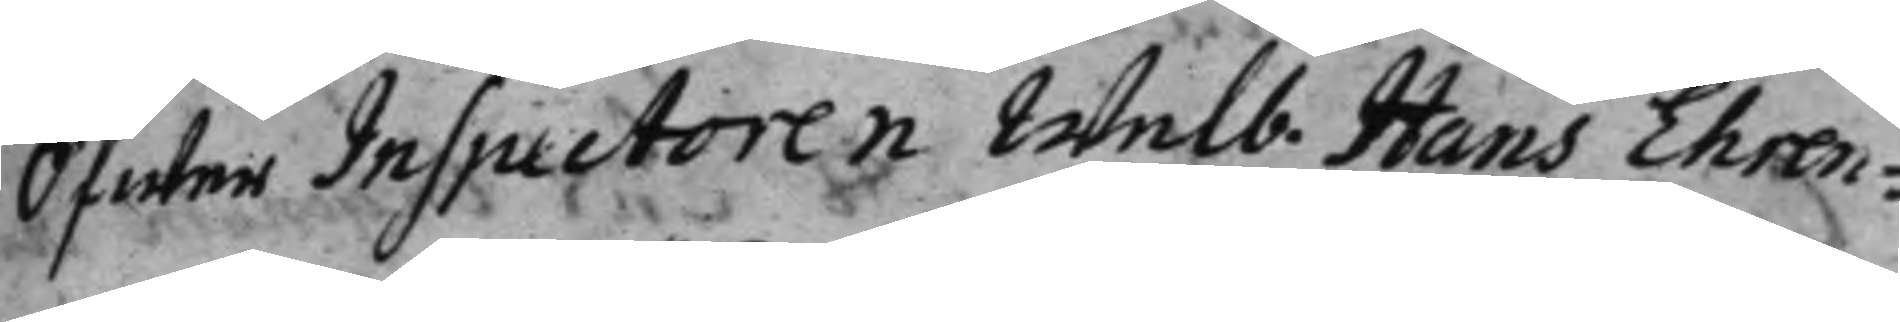Öfwer Inspectoren Welb. Hans Ehren¬ 
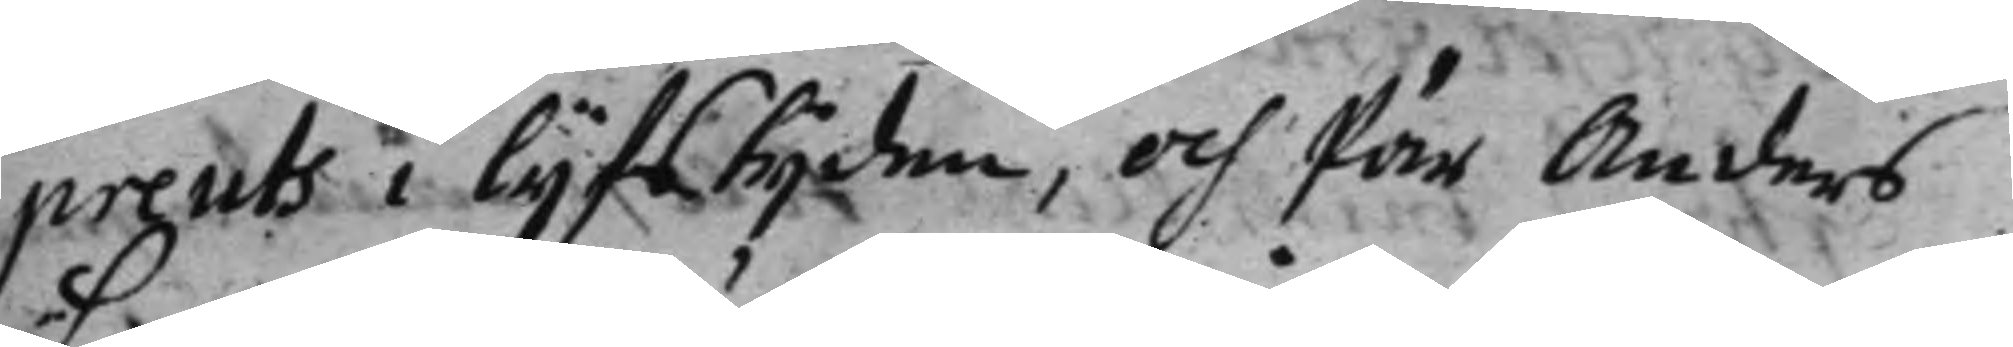preuts i lijfstijden, och Pär Anders¬
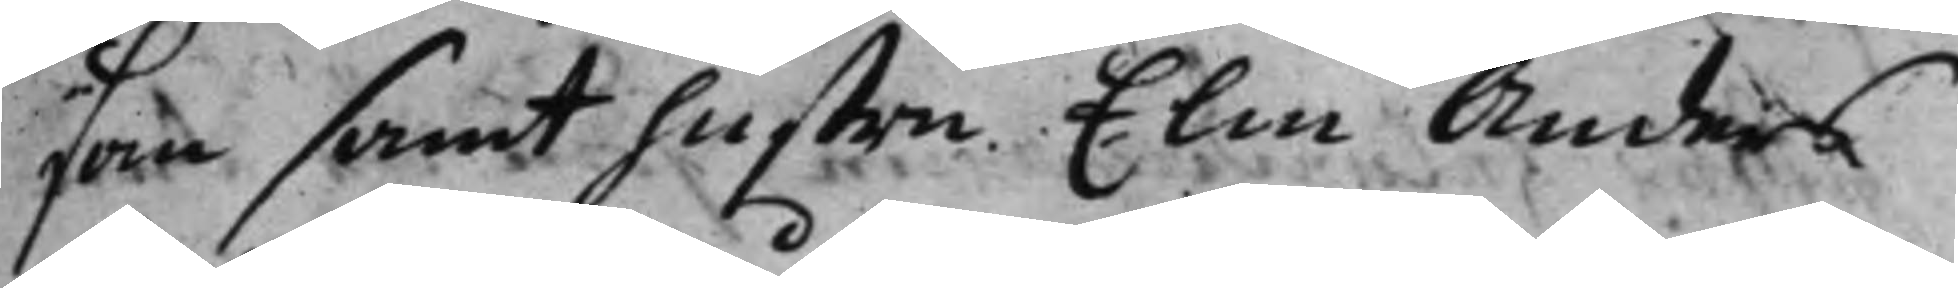son samt hustru Elin Anders¬
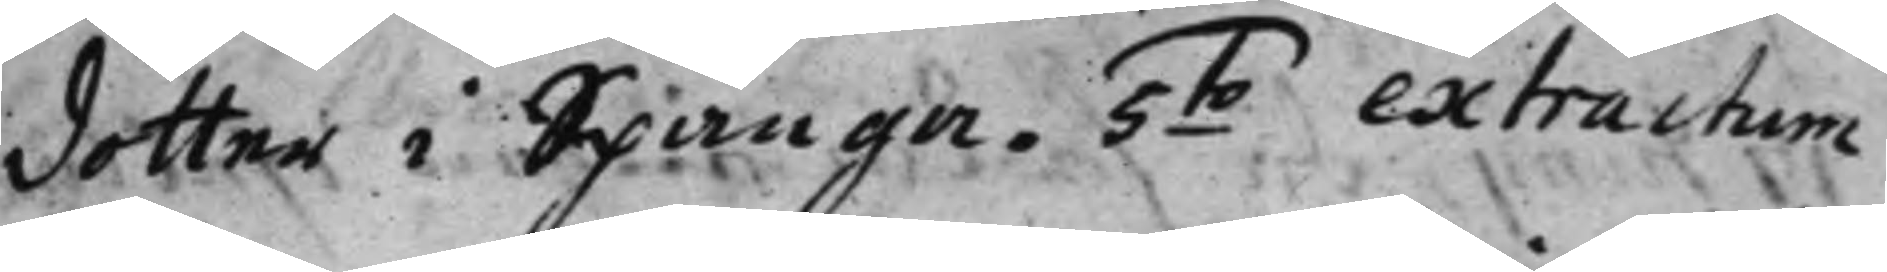dotter i Spånga. 5:to extractum 
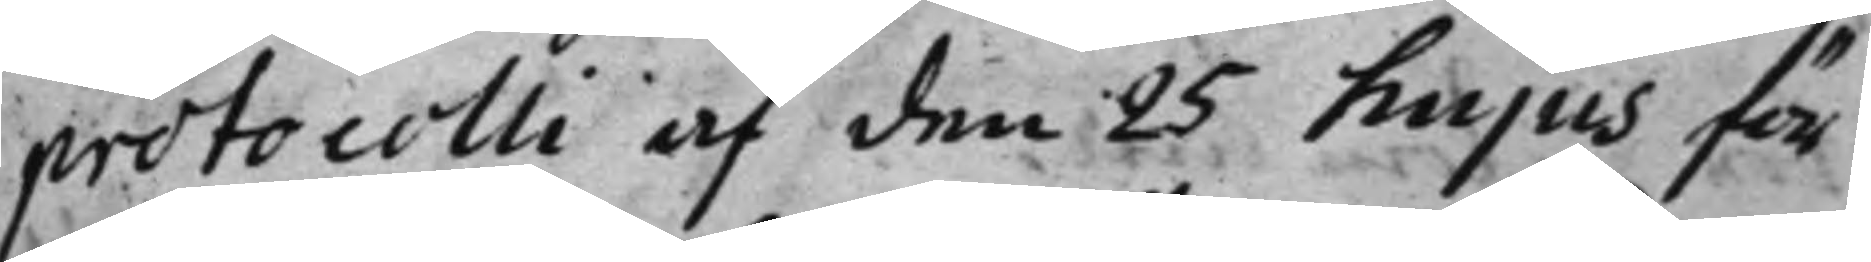protocolli af den 25 hujus för
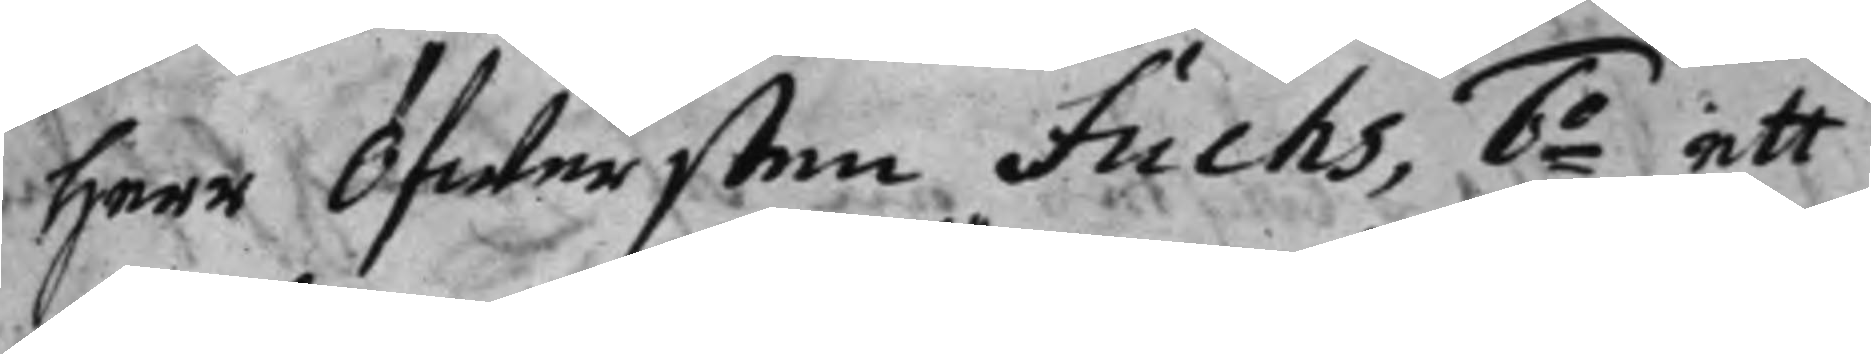Herr Öfwersten Fuchs, 6:o ett 
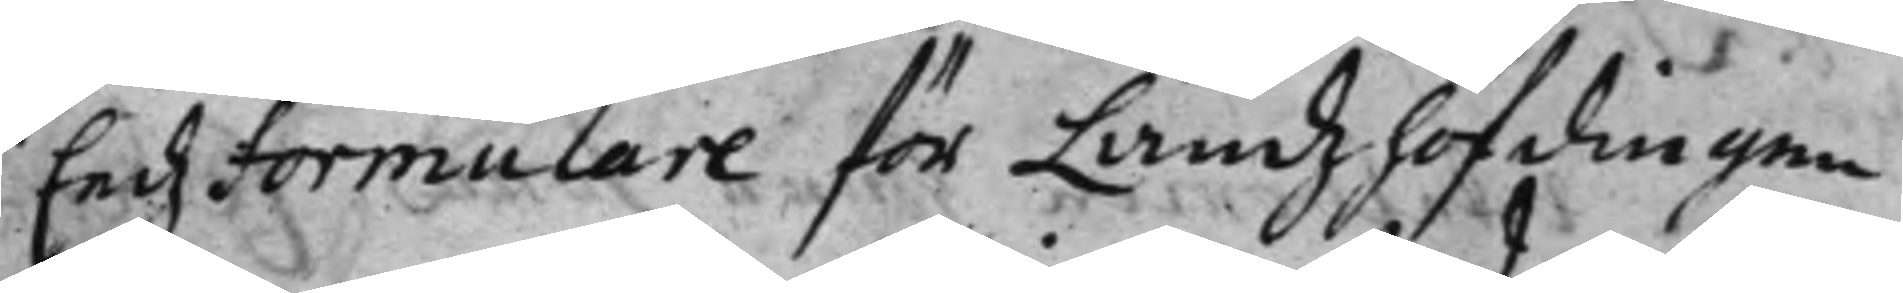Eedzformulare för Landzhöfdingen
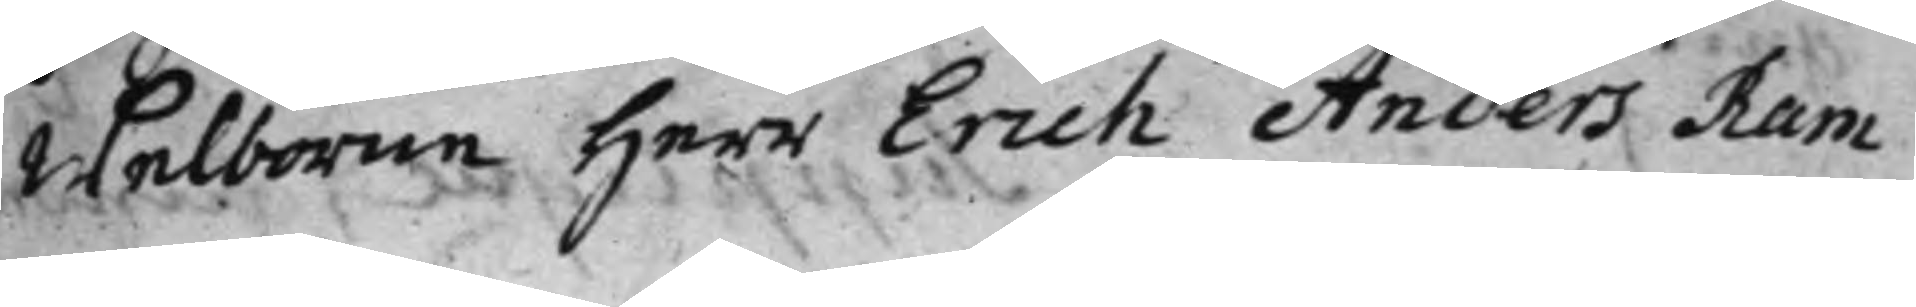Welborne Herr Erich Anders Ram¬
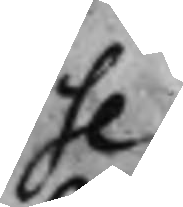se.
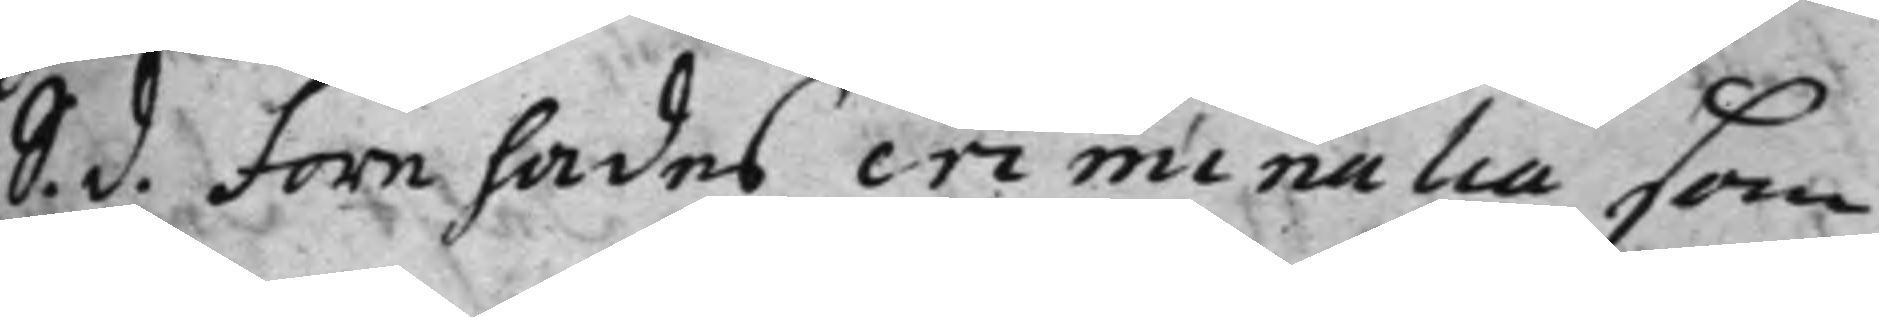S. d. Förehades criminalia som 
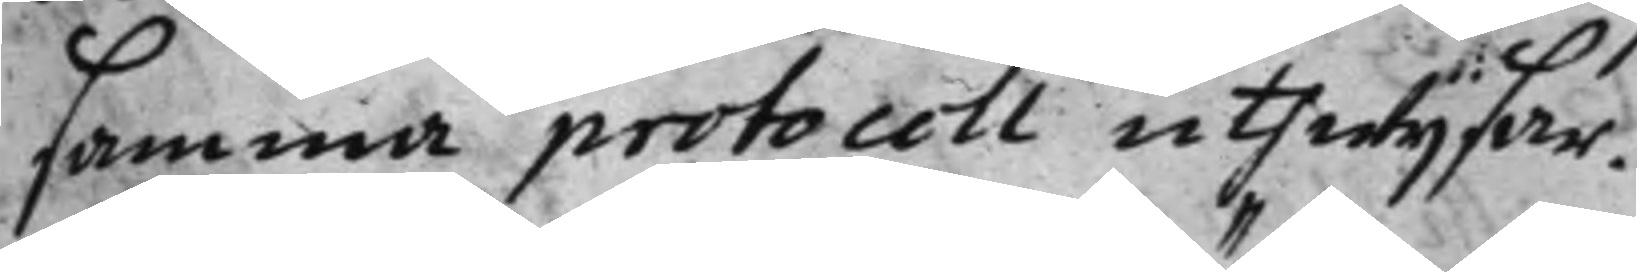samma protocoll uthwijsar.
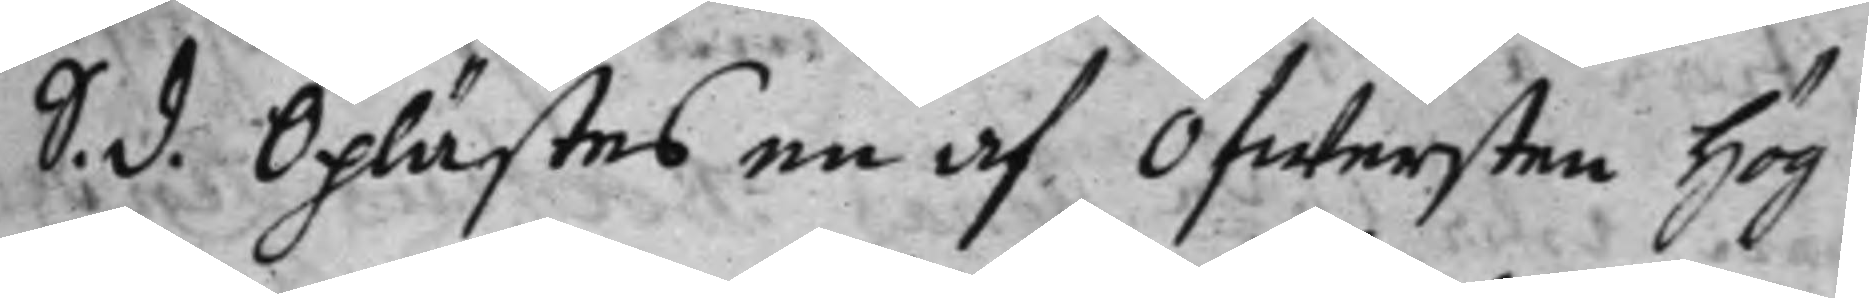S. d. Oplästes en af Öfwersten Hög 
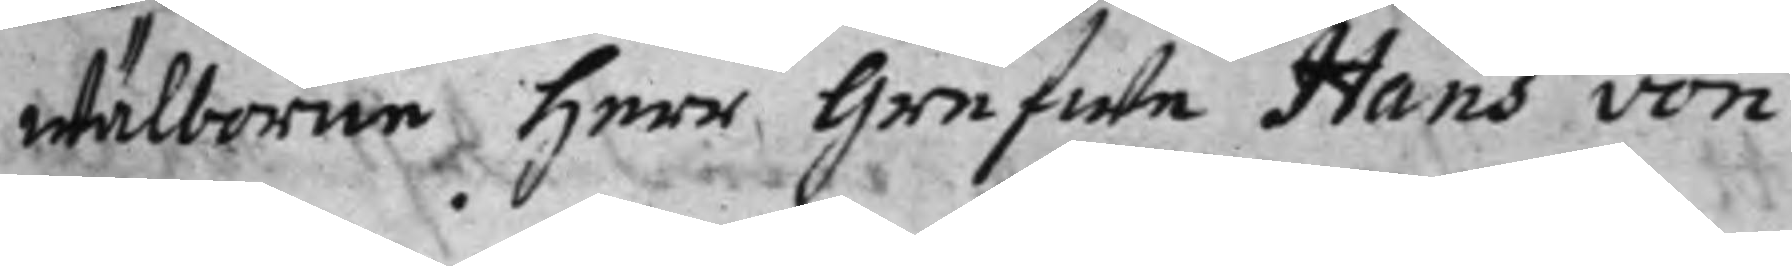wälborne Herr Grefwe Hans von
